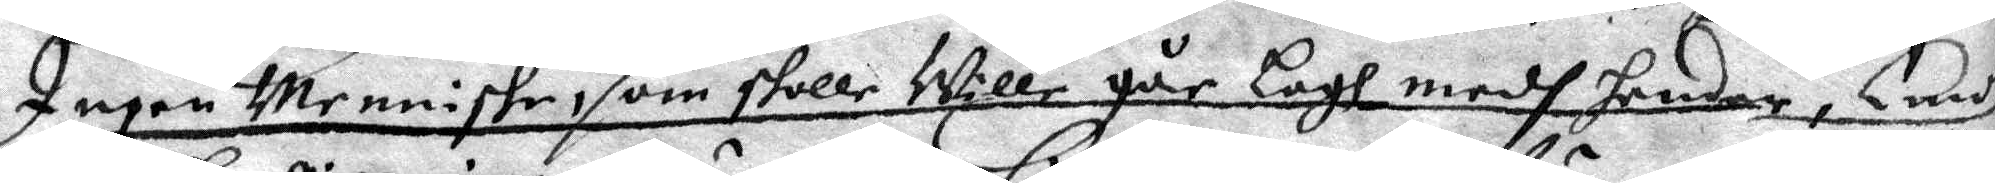Ingen Menniske, som skolle Wille går Lagh medh hender, Emot
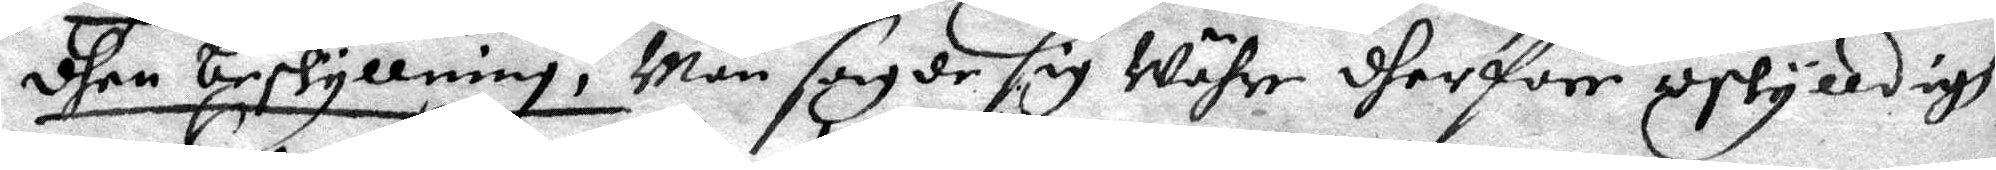dhen beskyllning, Män sagde sig Währe dherföre oskylldigh,
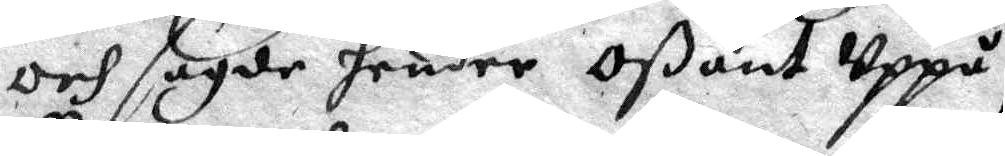och sagde hender Oßant Uppå,
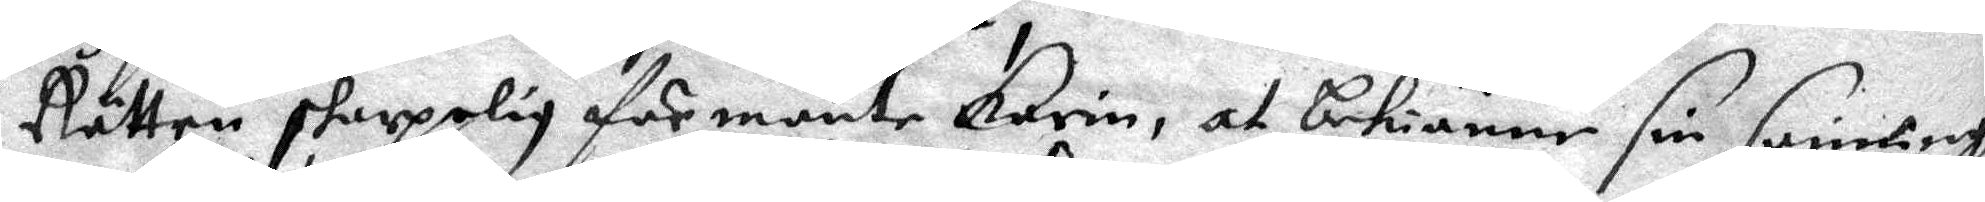Rätten sherpelig förmante Karin, at bekiänne sin sannigh
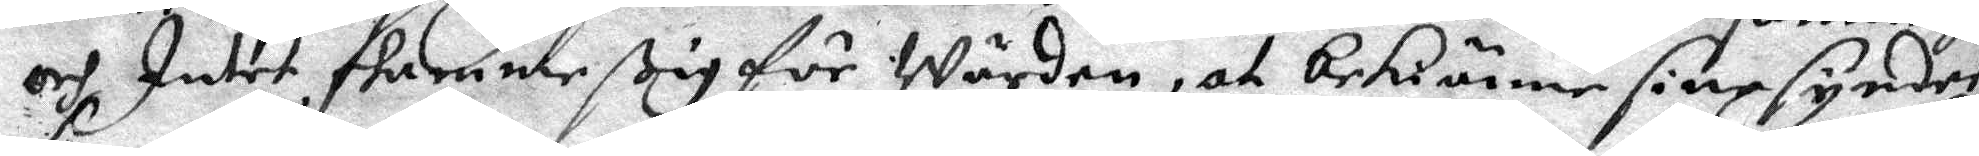och Intet skemme ßig för Wärden, at bekiänne sine synder
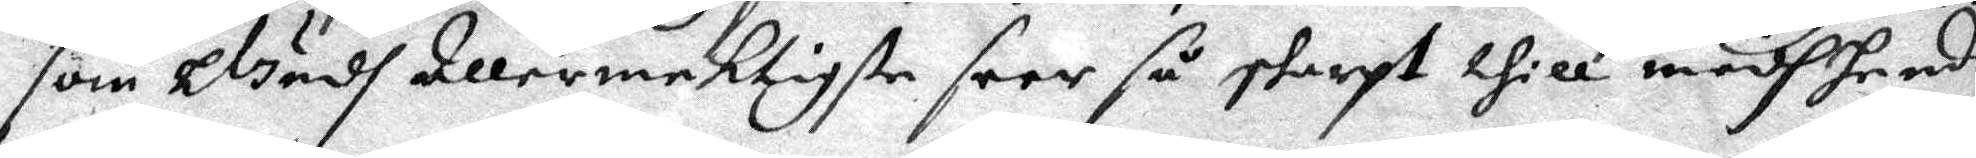som Gidh Allermektigste seer så straxt thill medh hende
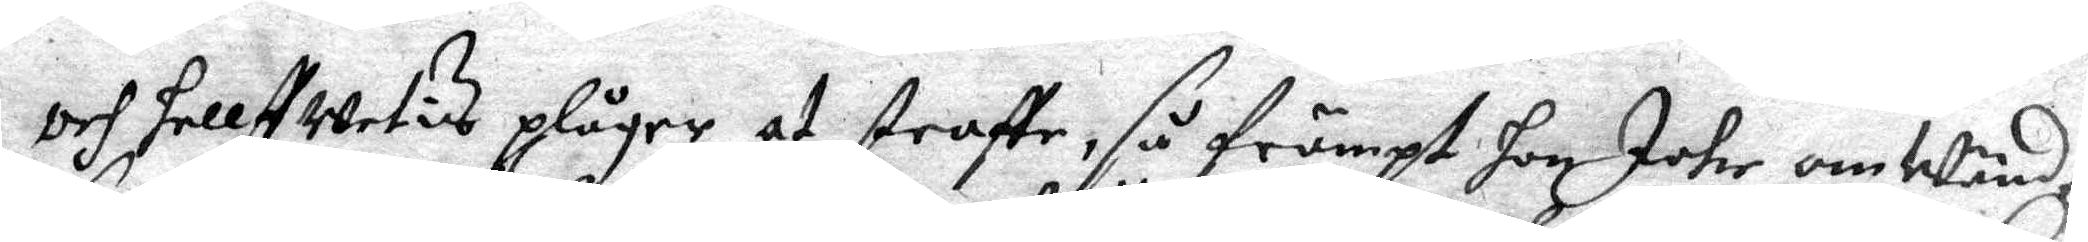och hellst Wetis plåger at straffe, så främst hon Icke omWänder
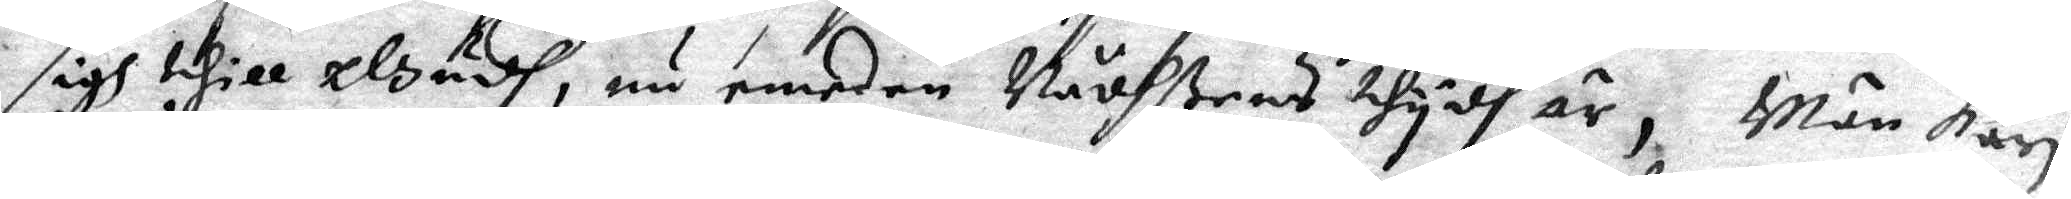sigh thill Gudh, nu emedan Nådhßens thydh är, Män Kari
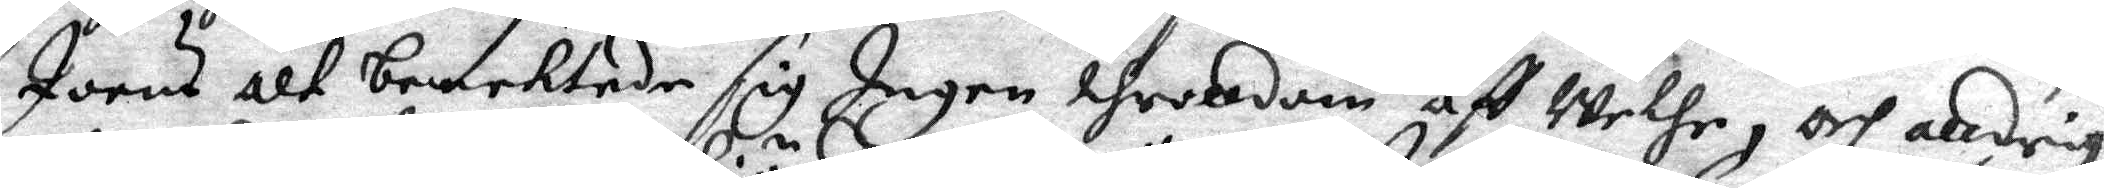Joens alt benektade sig Ingen throldom aff Wethe, och alldrig
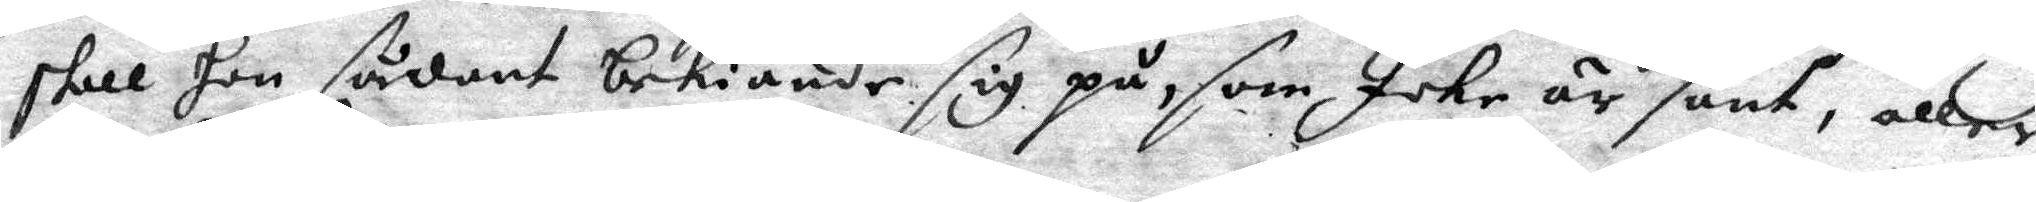skall hon sådant bekiände sig på, som Icke är sant, eller
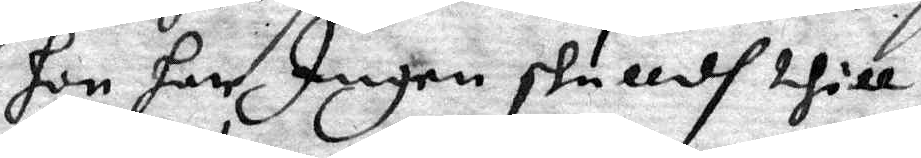hon har Ingen skulldh thill,
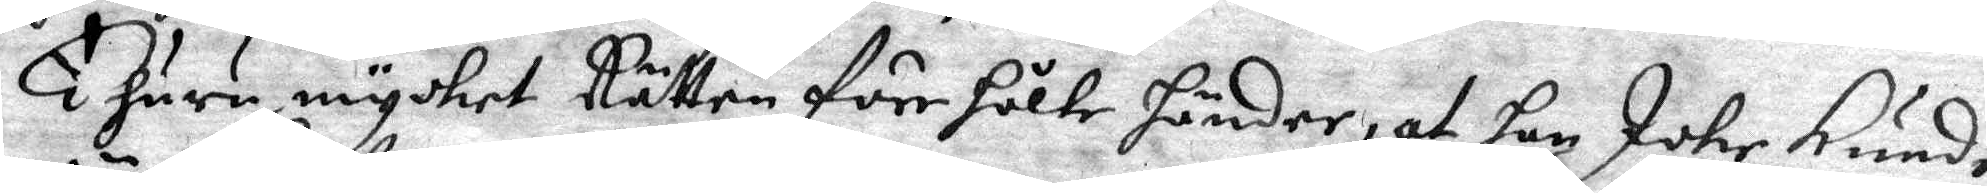Ehuru mycket Rätten förehölte händer, at hon Icke kunde
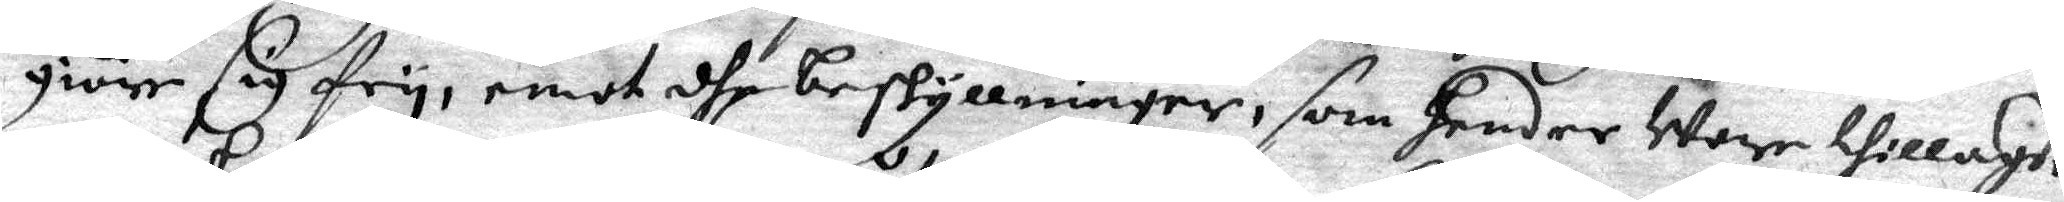giöre sig fry, emot dhe beskyllninger, som hender Wore thillagde
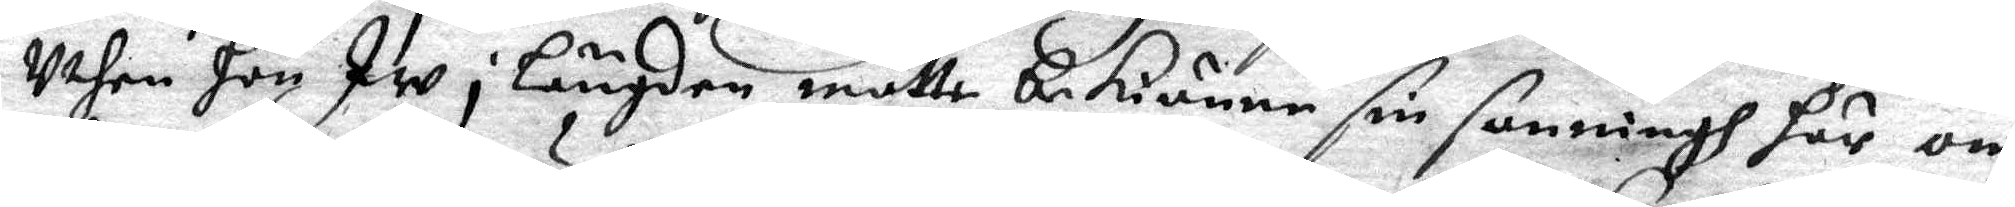Uthen hon Iw i Längden måtte bekiänne sin sanningh här om
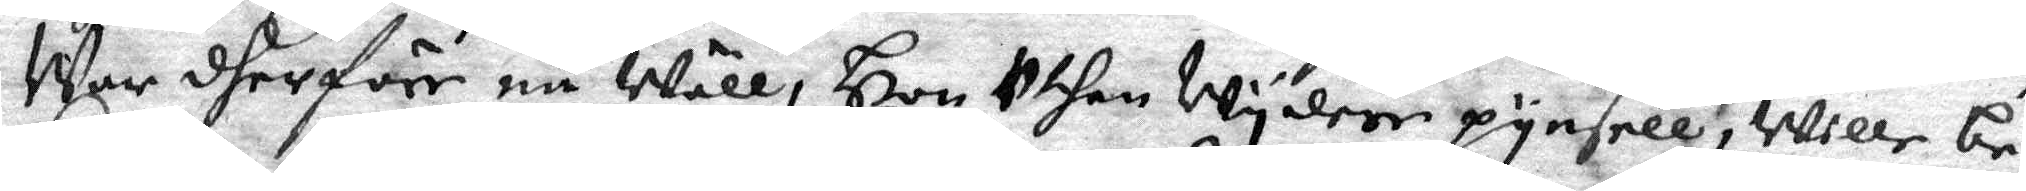War dherföre nu Wäll, Hon Uthan Wydare pynsell, Wille be¬
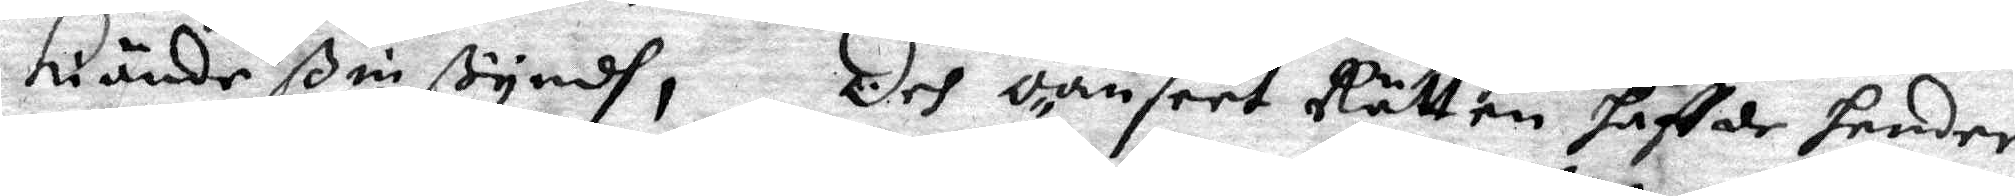kiände ßin ßyndh, Och oanseet Rätten haffde hender
